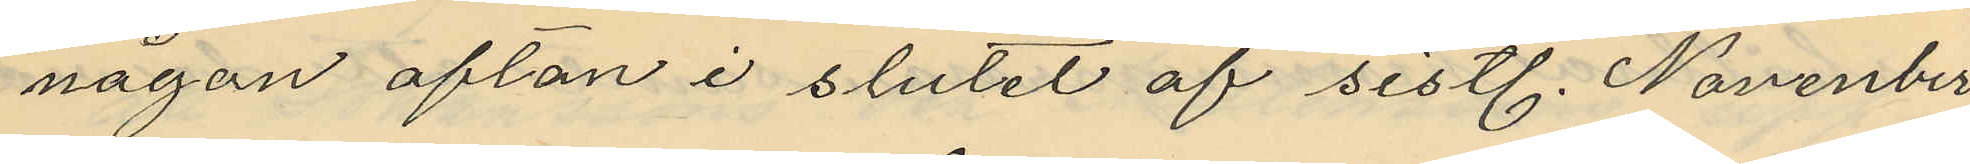någon afton i slutet af sistl. November
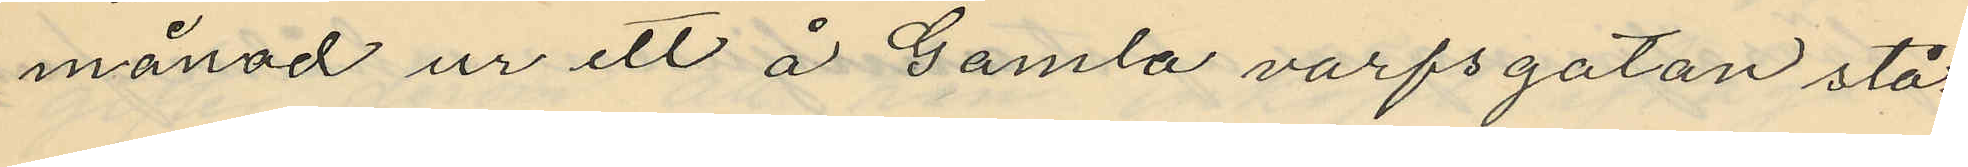månad ur ett å Gamla varfsgatan stå¬
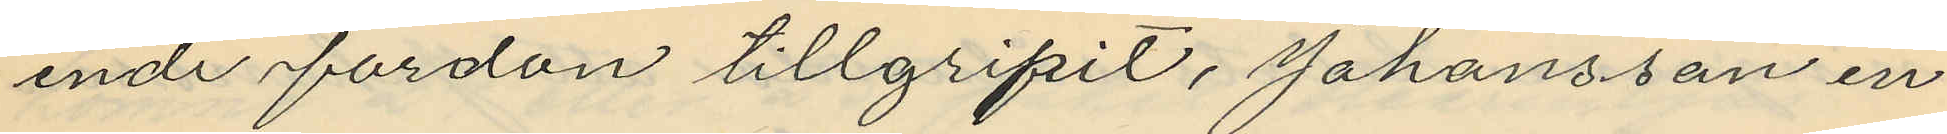ende fordon tillgripit, Johansson en
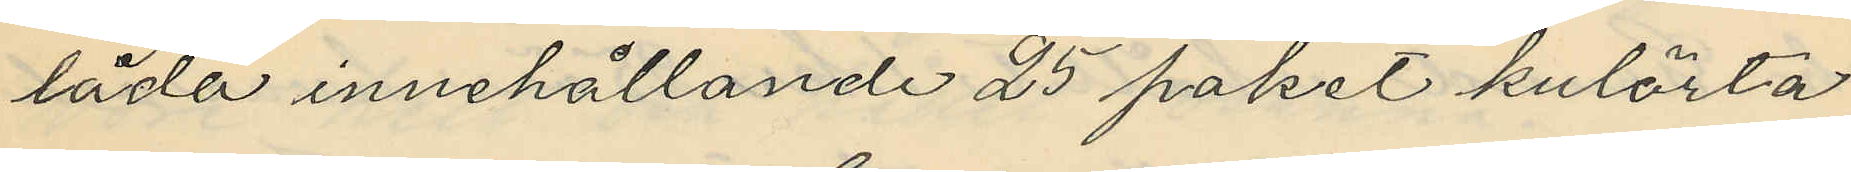låda innehållande 25 paket kulörta
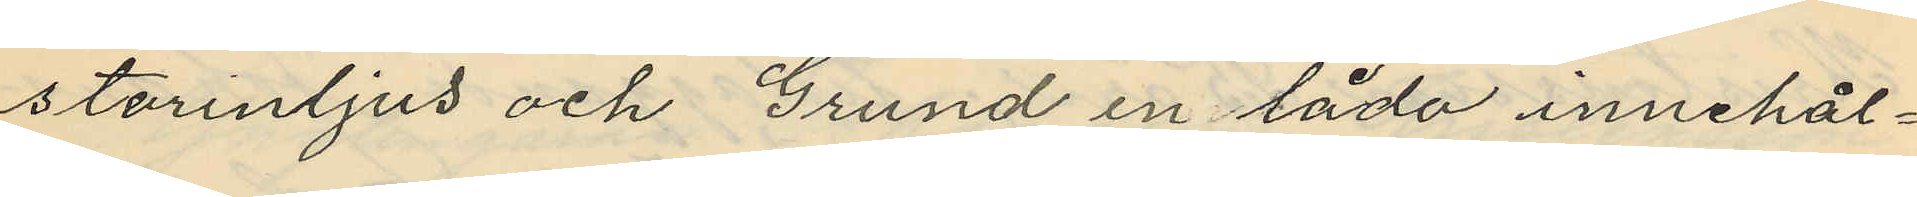stearinljus och Grund en låda innehål¬
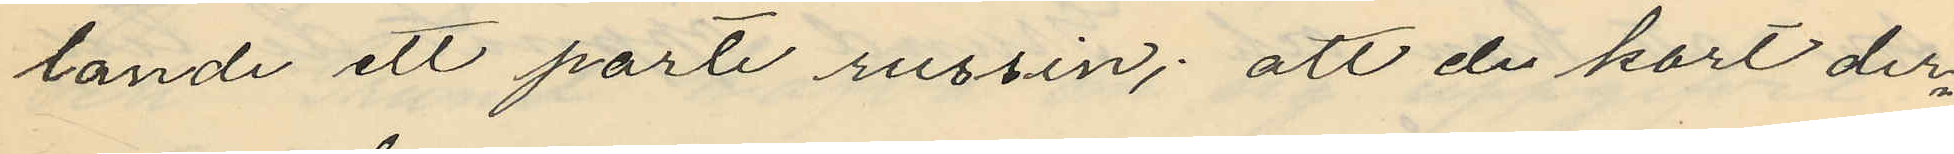tande ett parti russin; att de kort der¬
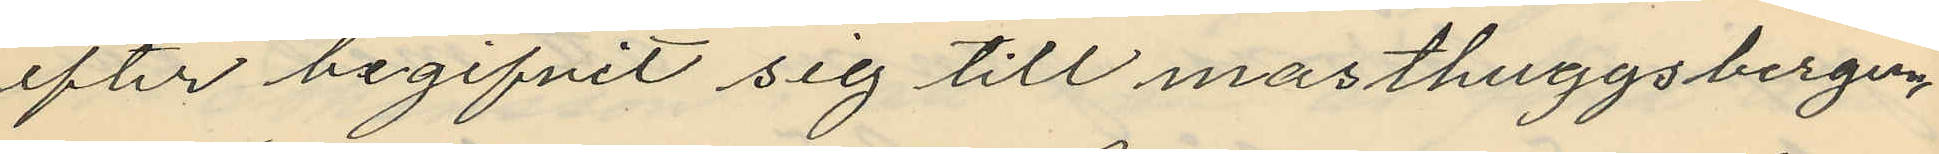efter begifvit sig till masthuggsbergen,
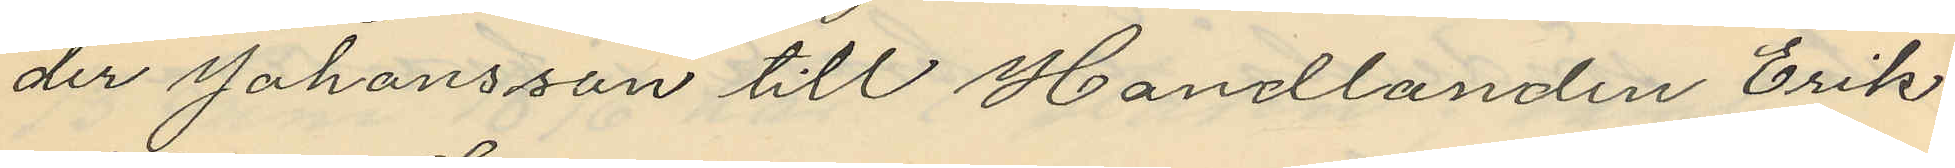der Johansson till Handlanden Erik
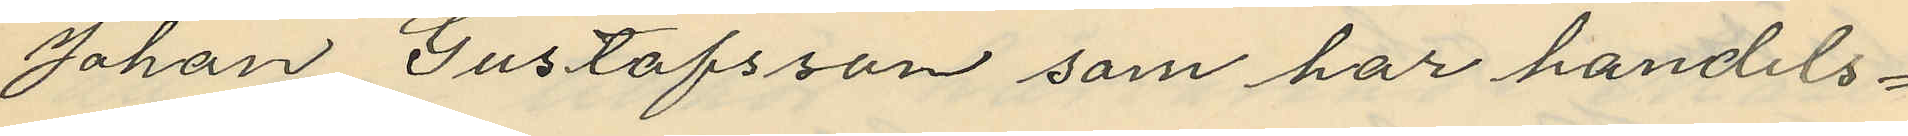Johan Gustafsson som har handels¬
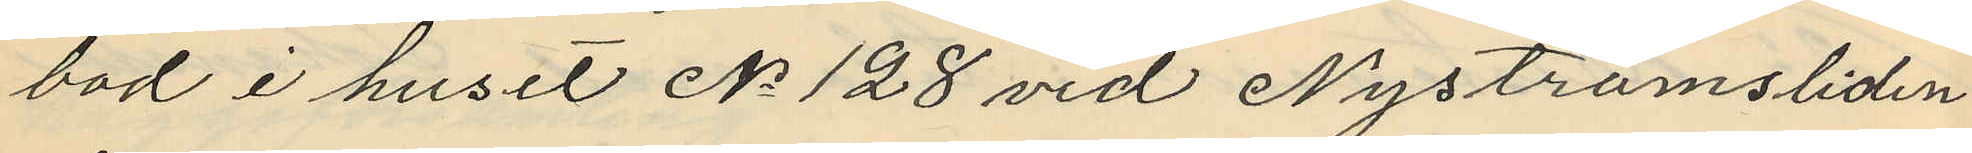bod i huset No 128 vid Nyströmsliden
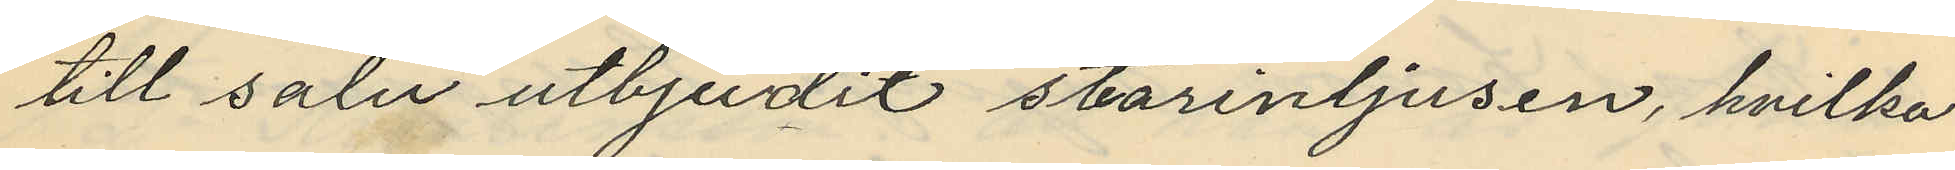till salu utbjudit stearinljusen, hvilka
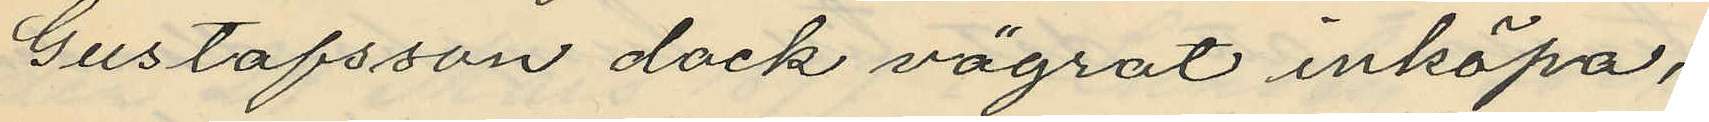Gustafsson dock vägrat inköpa;
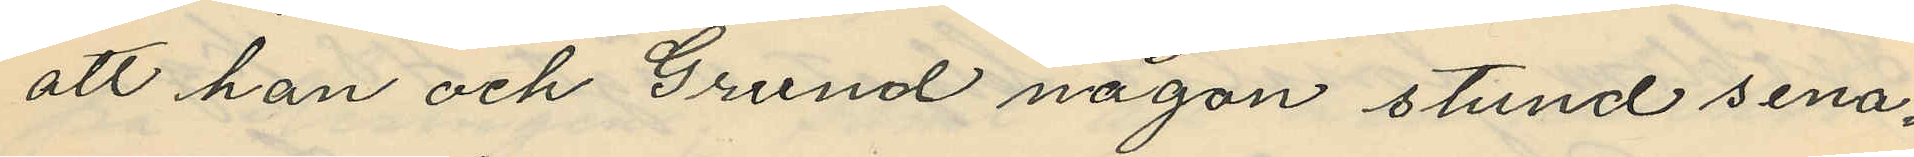att han och Grund någon stund sena¬
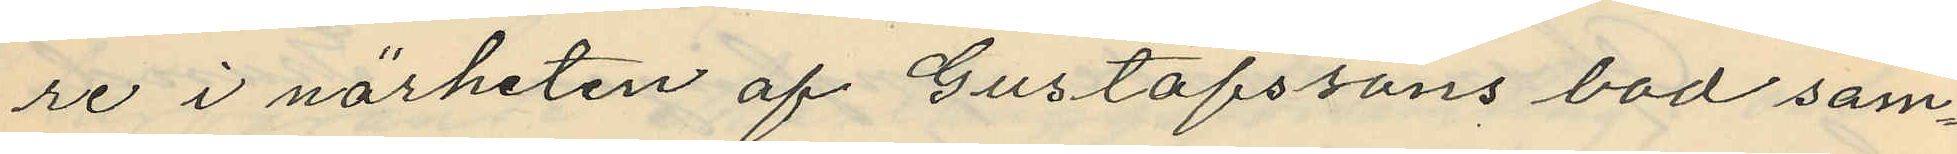re i närheten af Gustafssons bod sam¬
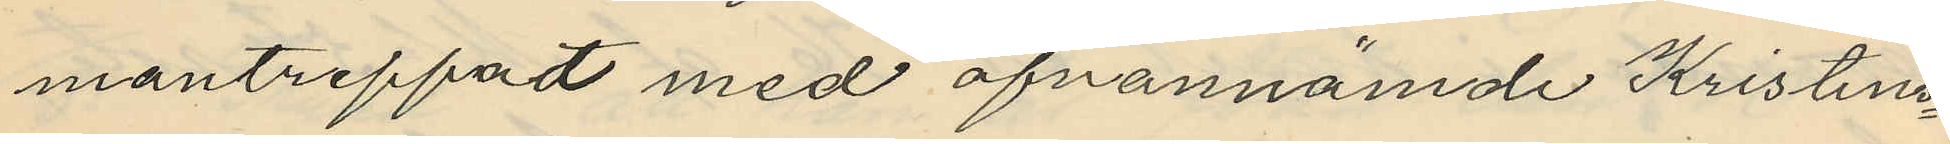mantreffat med ofvannämde Kristens¬
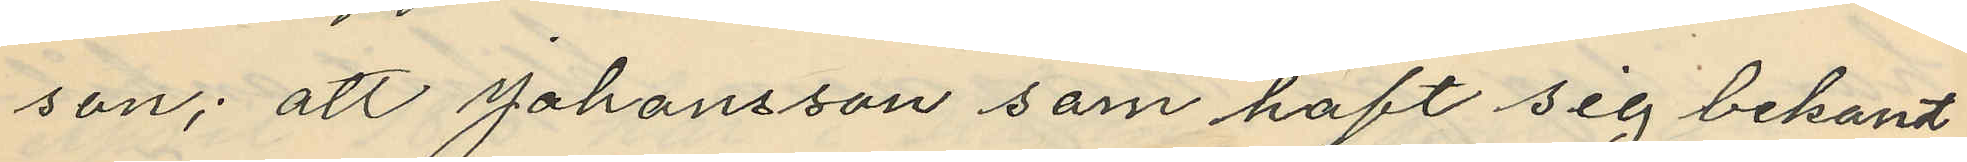son; att Johansson som haft sig bekant
